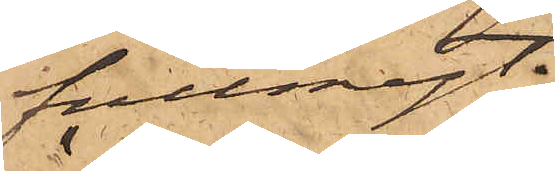fullmagt;
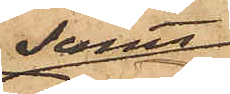samt
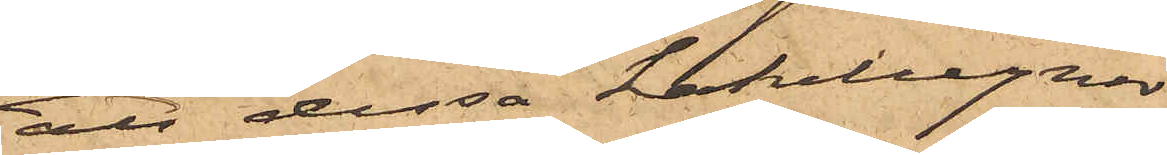att dessa kakelugnar
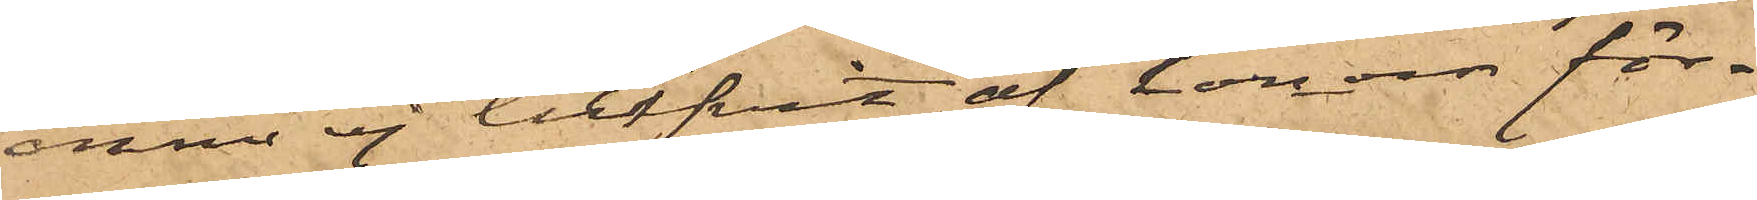ännu ej blifvit af honom för¬
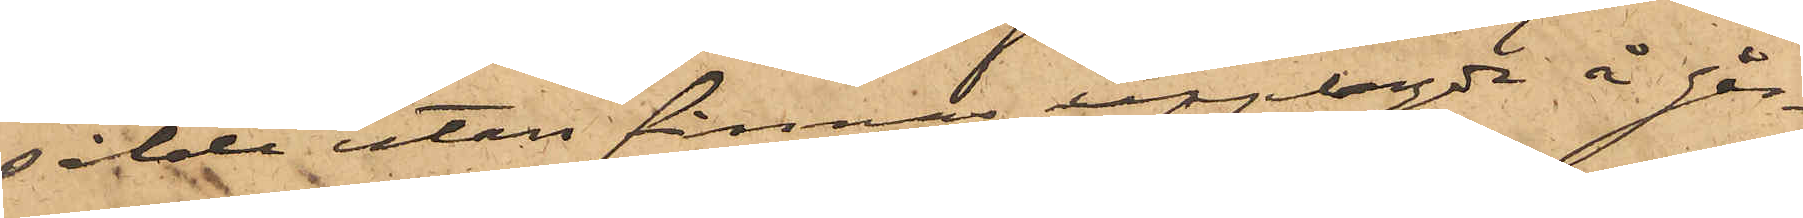sålde utan finnas upplagda å går¬
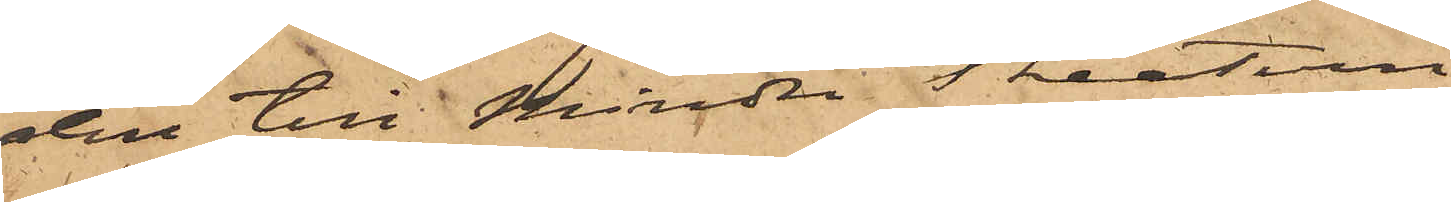den till Mindre Theatern.
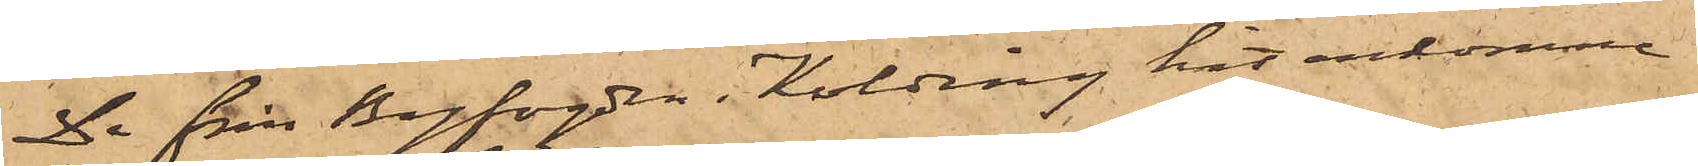De från Byfogden i Kolding hit inkomme
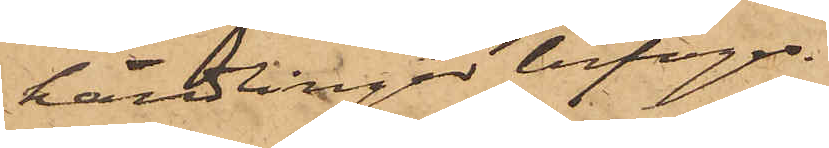handlingar bifogas.
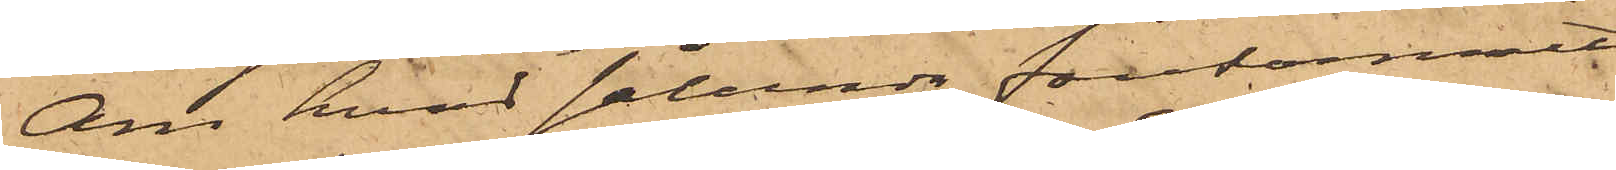Om hvad sålunda förekommit,
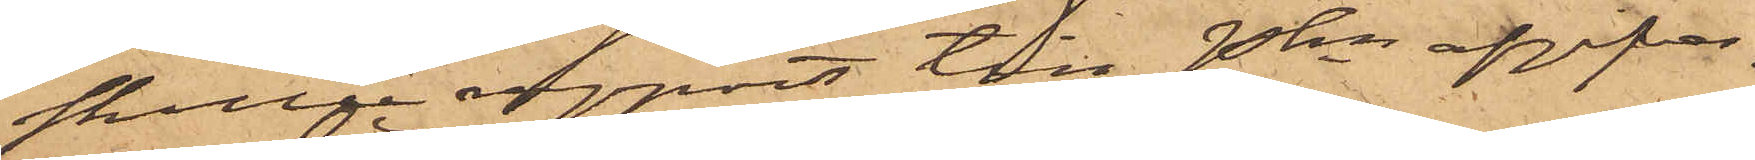skulle rapport till Pkn afgifvas.
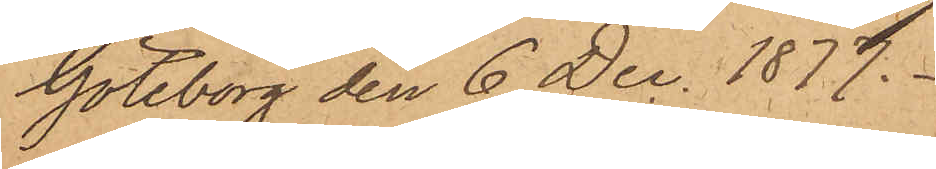Göteborg den 6 Dec. 1877.
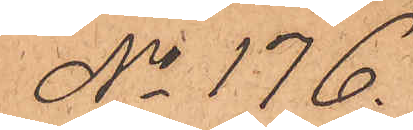No 176.
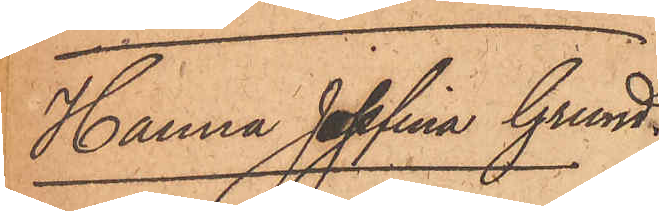Hanna Josefina Grund.
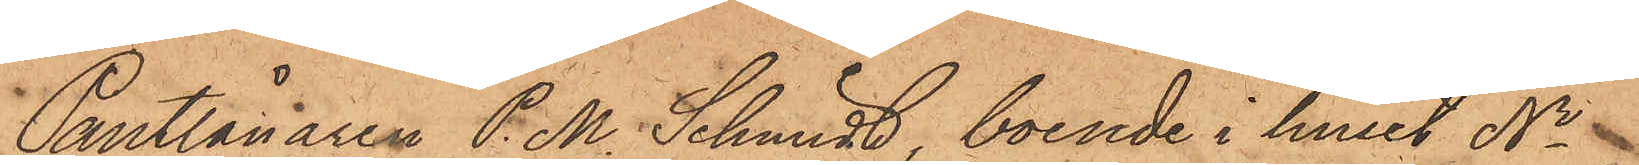Pantlånaren P. M. Schmidt, boende i huset No
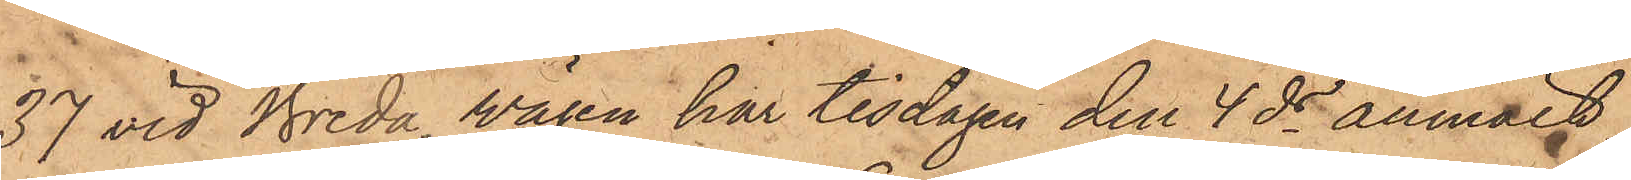37 vid Breda Vägen har tisdagen den 4 ds anmält,
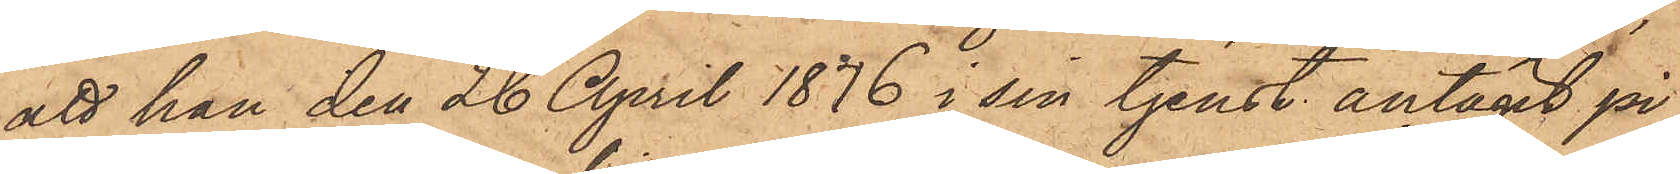att han den 26 April 1876 i sin tjenst antagit pi¬
